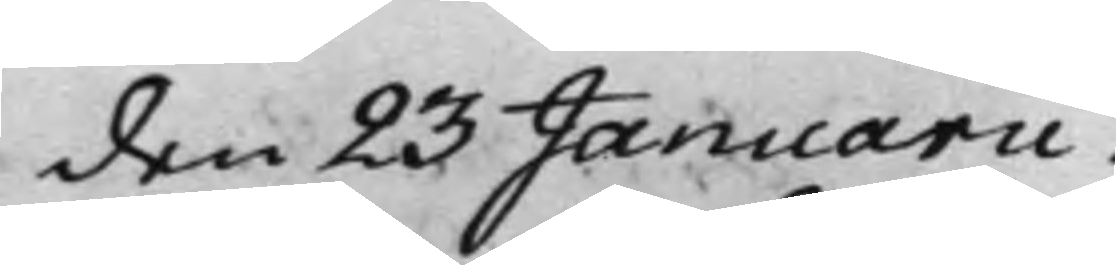den 23 Januarii.
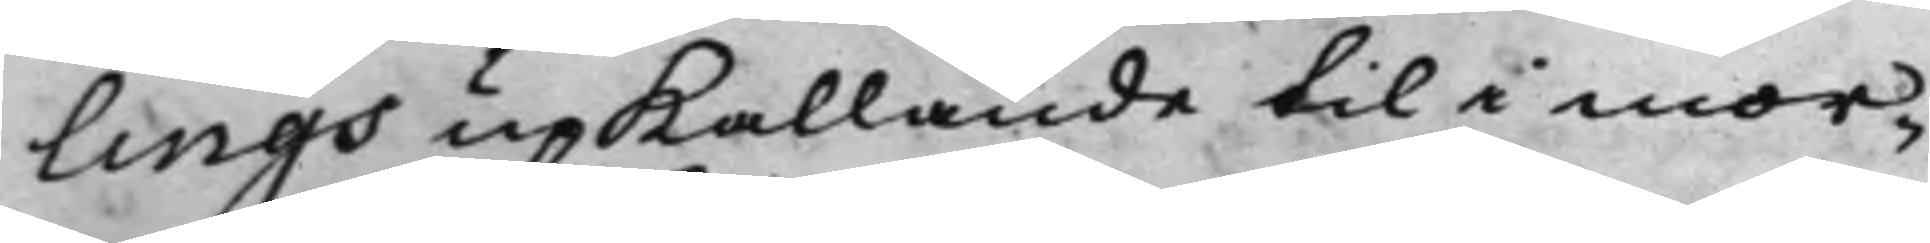lings upKallande til i mor¬
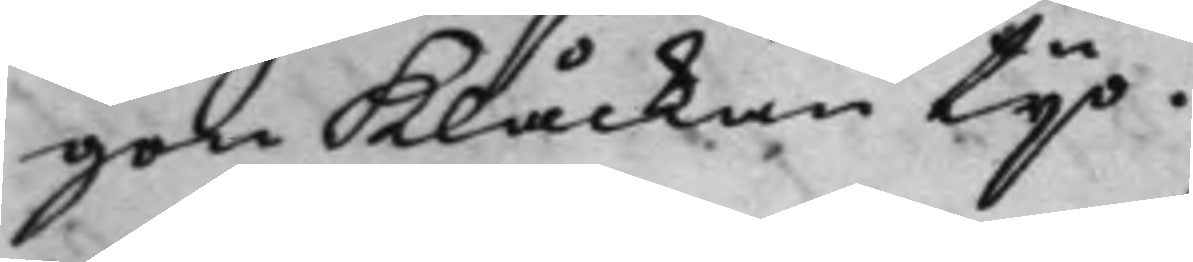gon Klåckan Tijo.
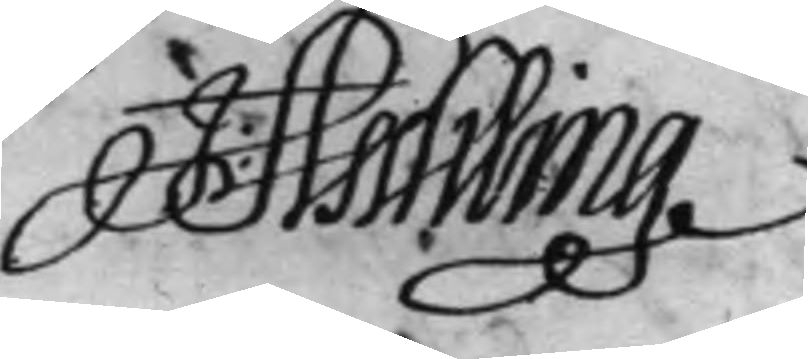J: Aschling
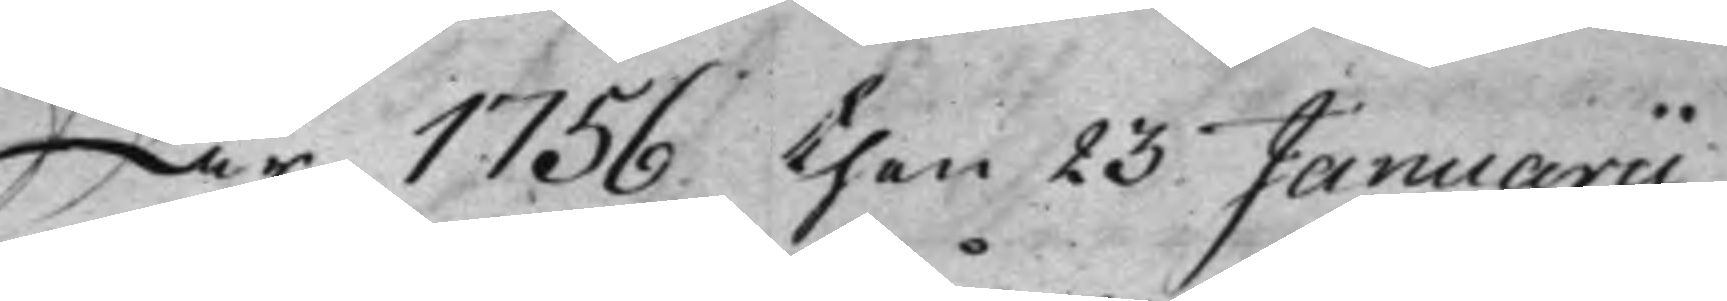År 1756 then 23 Januarii.
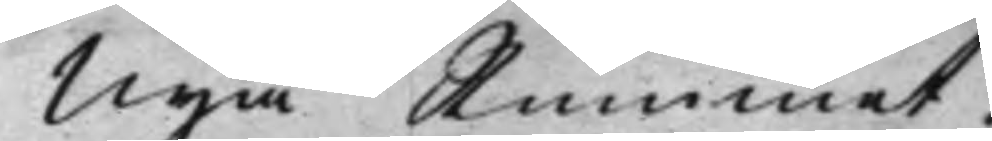Nya Rummet.
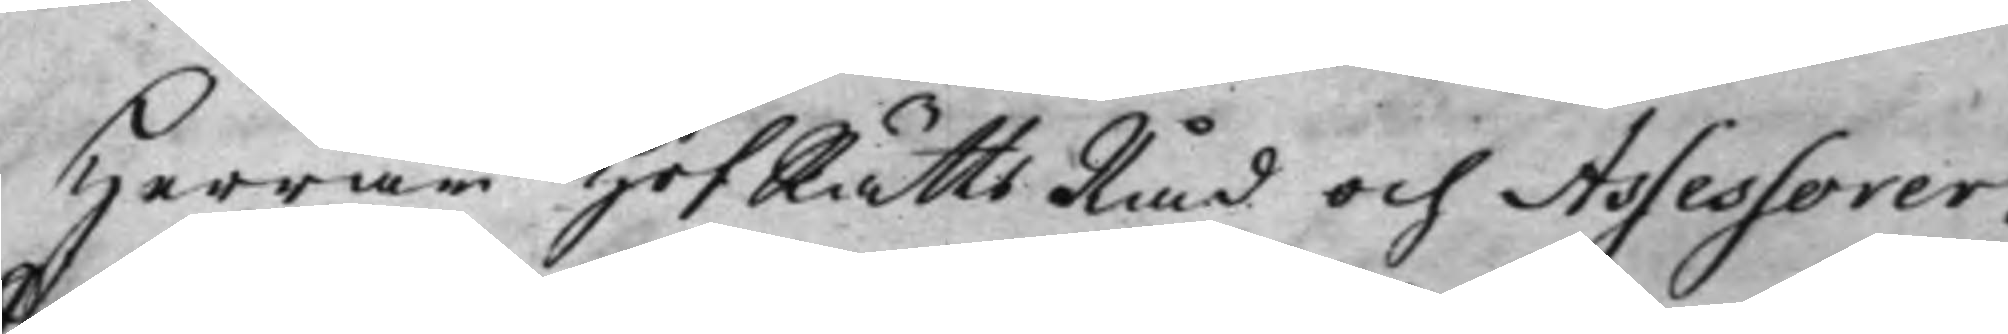Herrar HofRättsRåd och Assessorer.
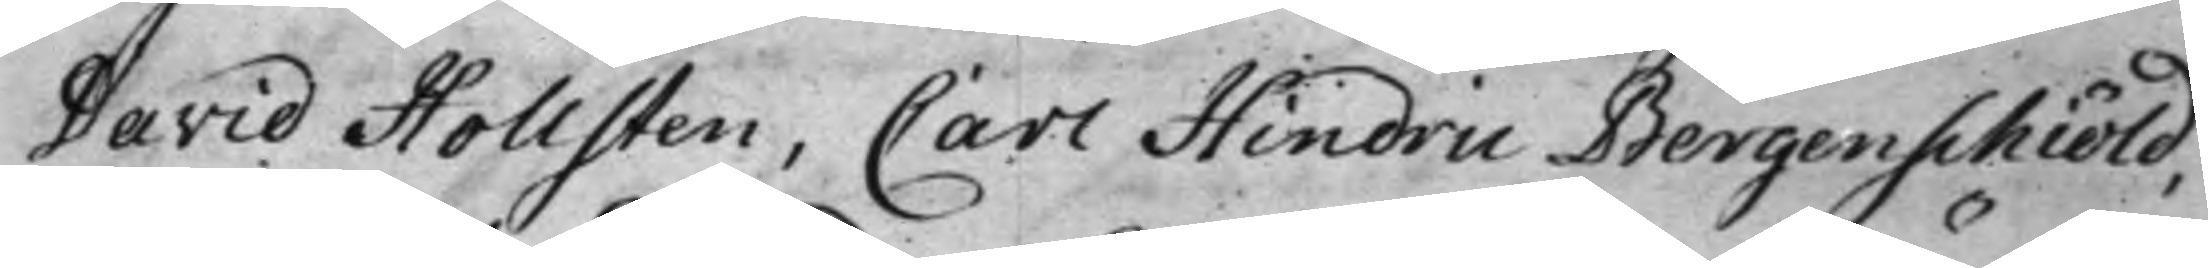David Hollsten, Carl Hindric Bergenschiöld,
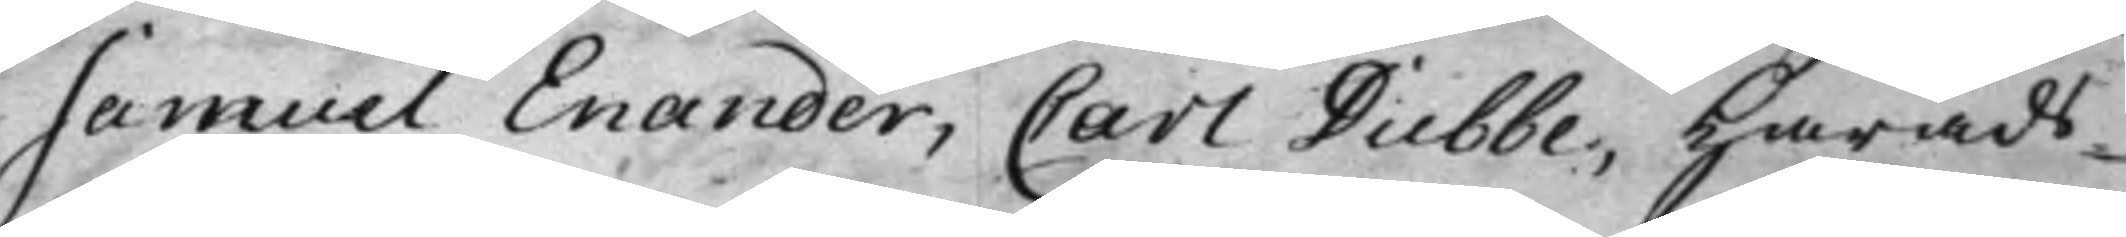Samuel Enander, Carl Dubbe, Härads¬
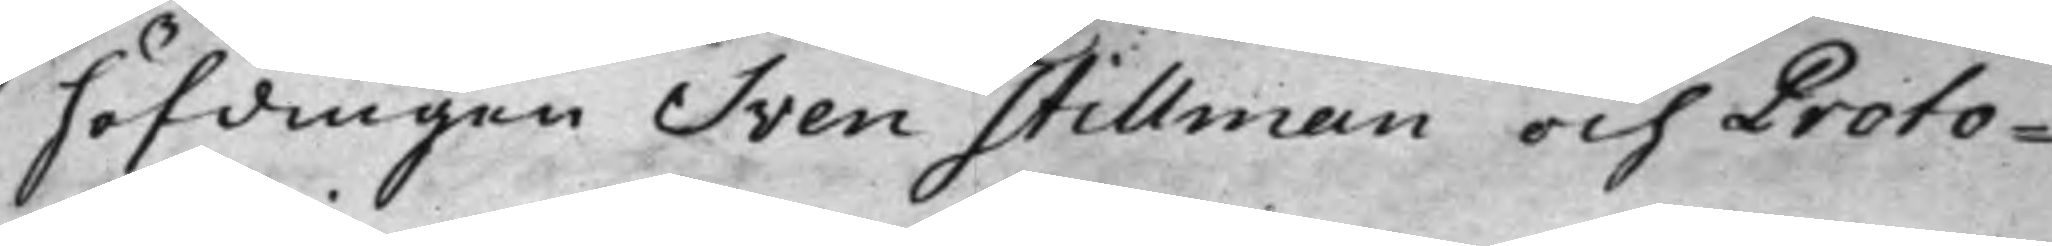höfdingen Sven Stillman och Proto¬
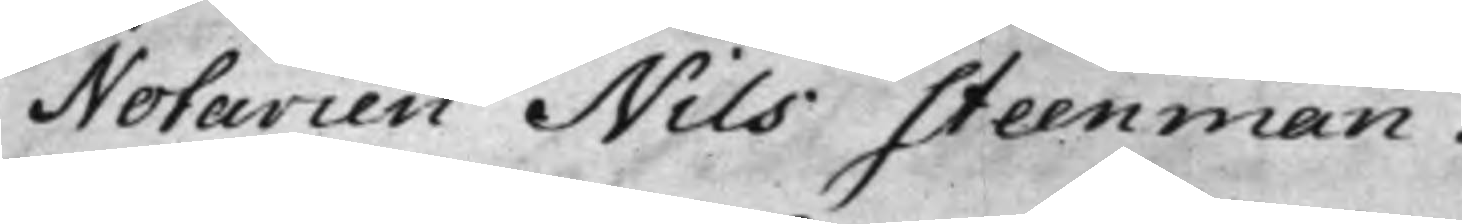Notarien Nils Steenman.
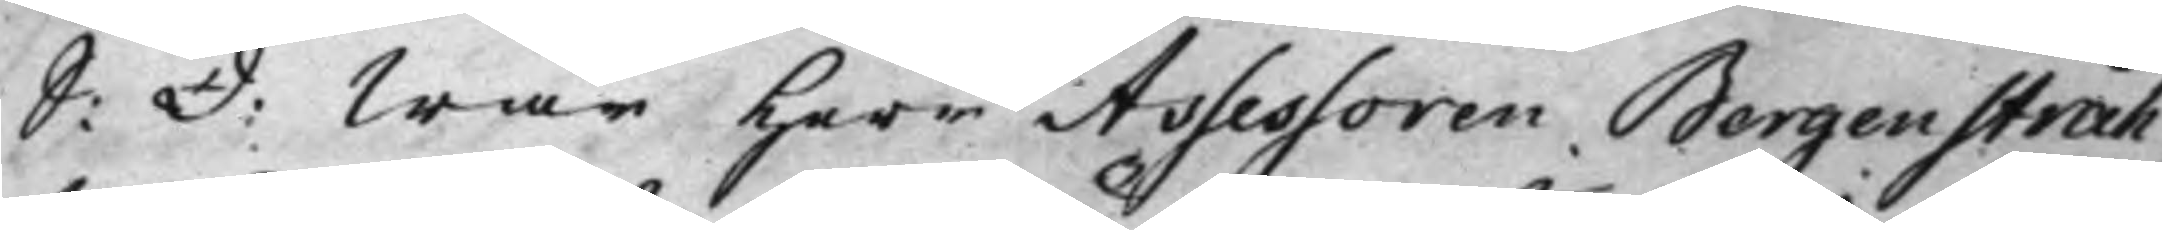S: d: War Herr Assessoren Bergenstråh¬
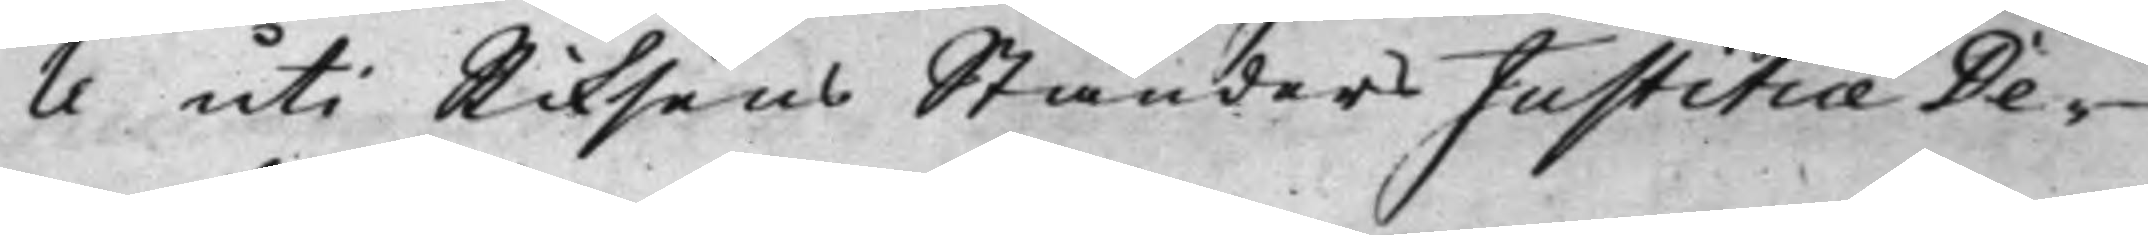le uti Riksens Ständers Justitiae De¬
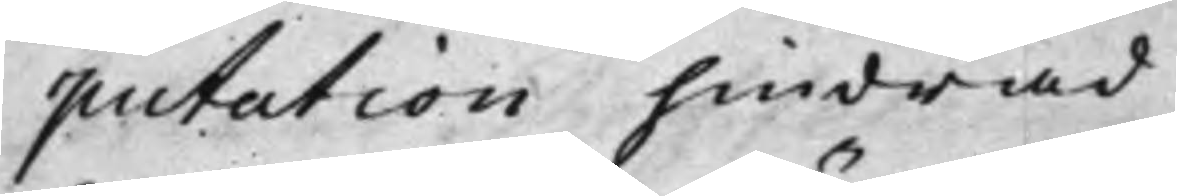putation hindrad.
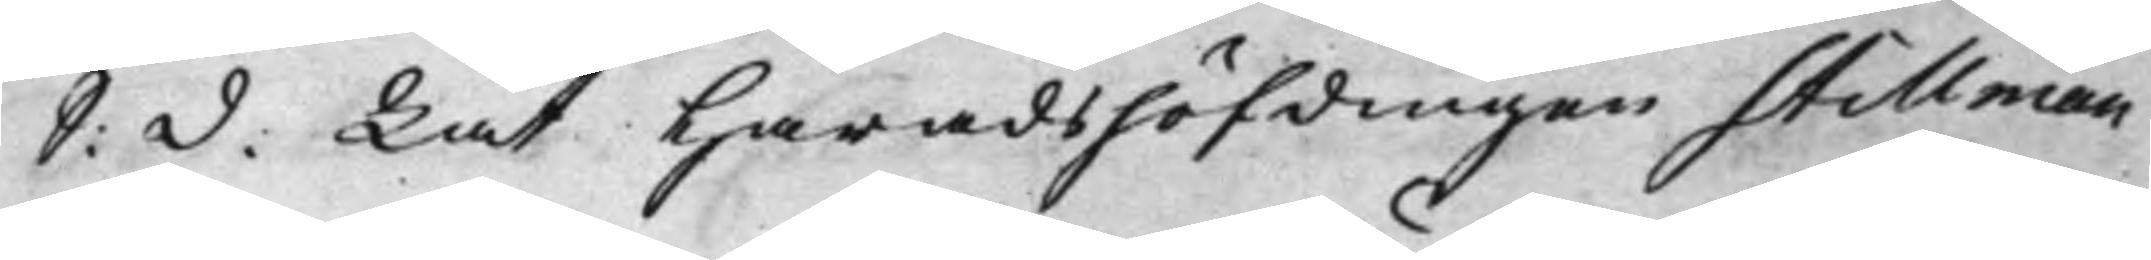S: d: Lät Häradshöfdingen Stillman
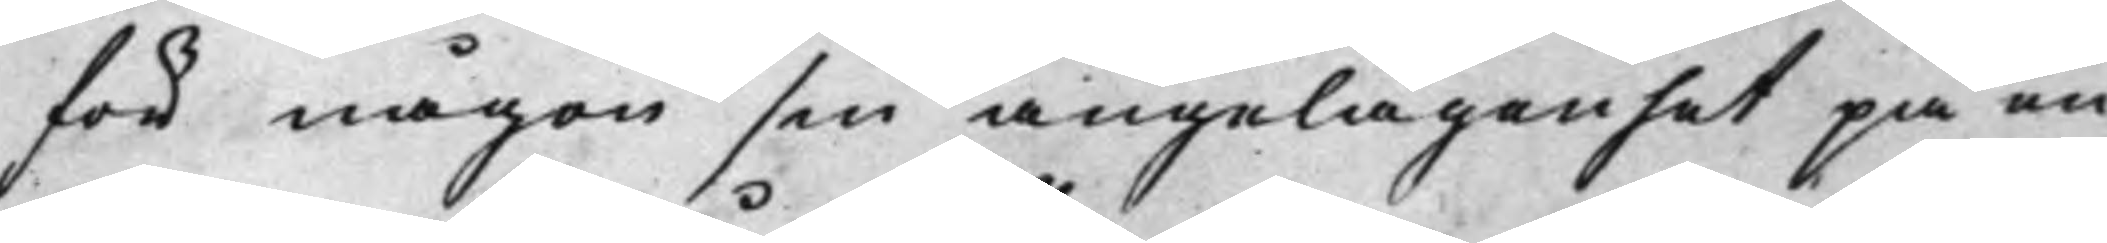för någon sin angelägenhet på en
